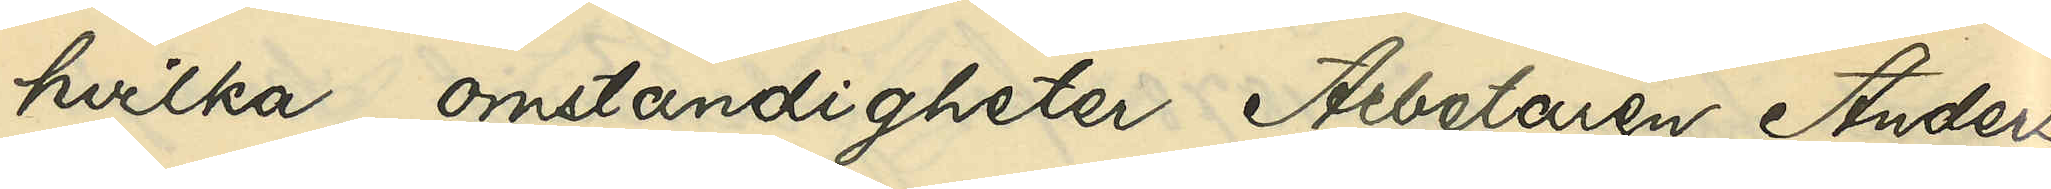hvilka omständigheter Arbetaren Anders
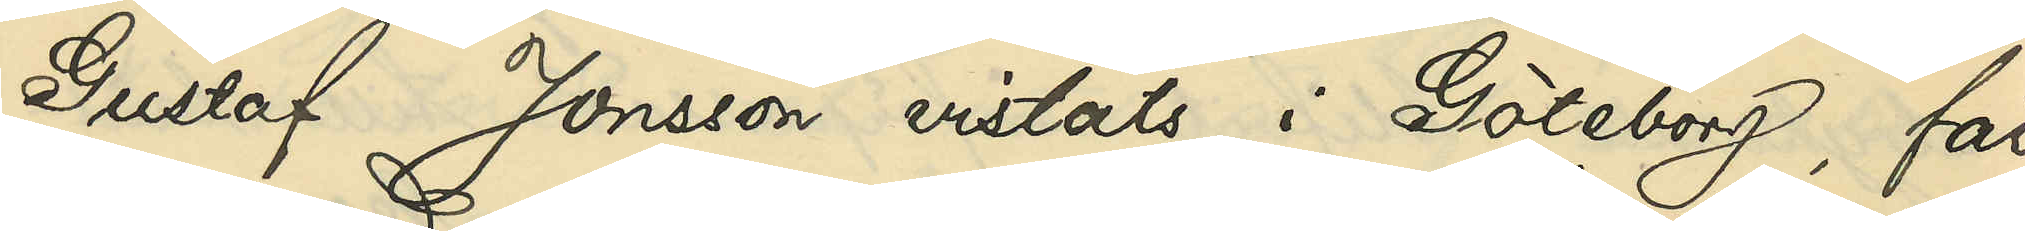Gustaf Jonsson vistats i Göteborg, får
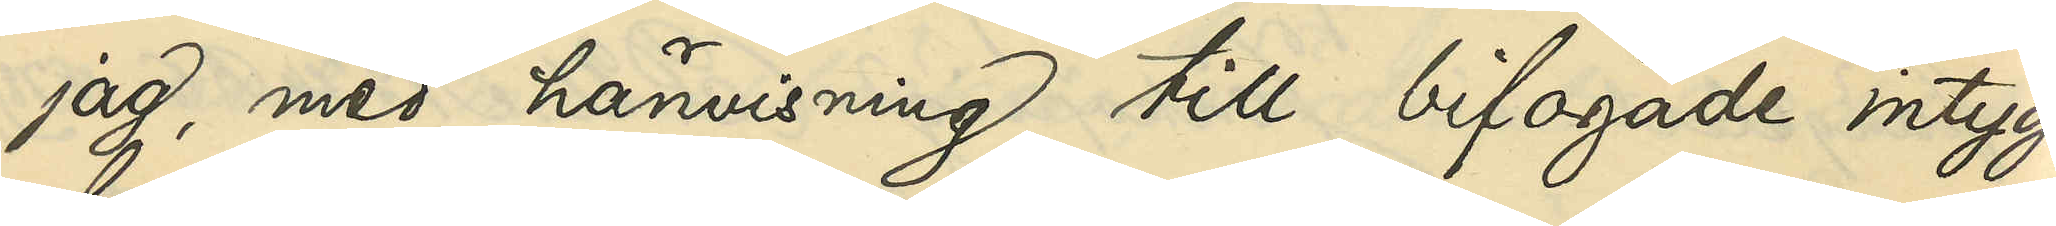jag, med hänvisning till bifogade intyg
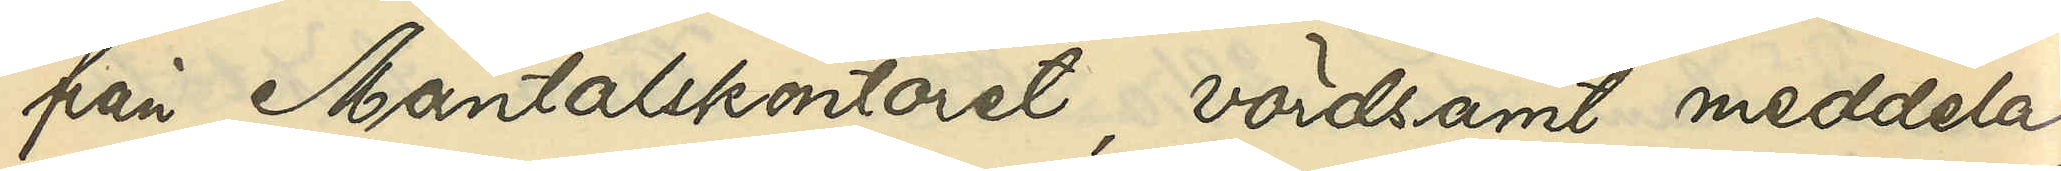från Mantalskontoret, vördsamt meddela,
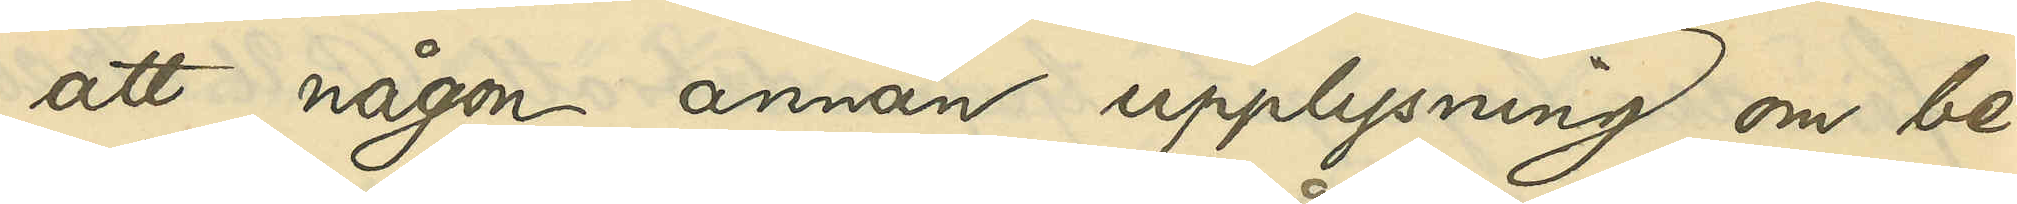att någon annan upplysning om be¬
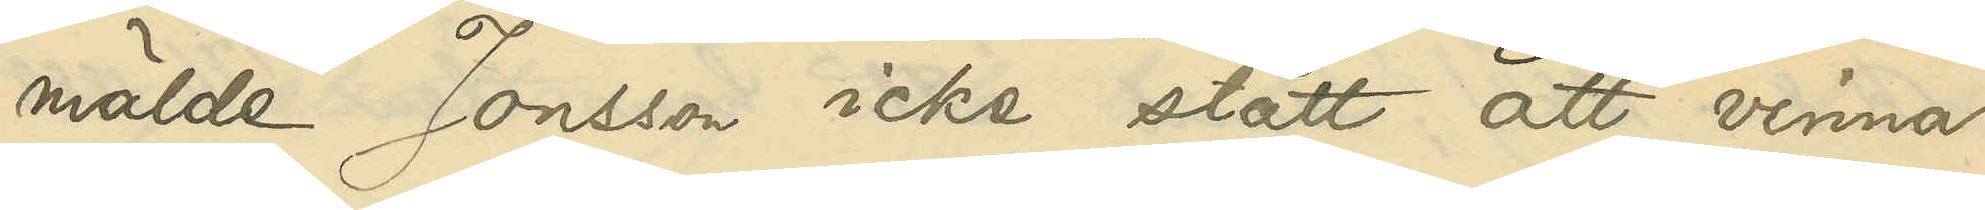mälde Jonsson icke stått att vinna.
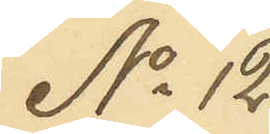No 12
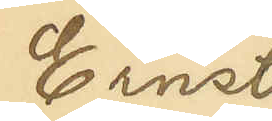Ernst
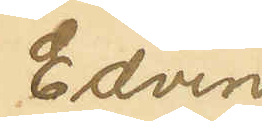Edvin
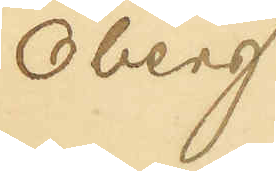Öberg
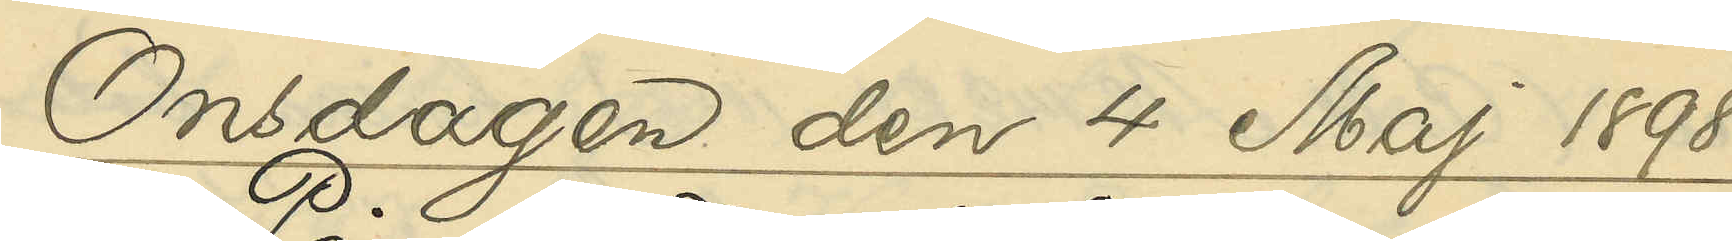Onsdagen den 4 Maj 1898
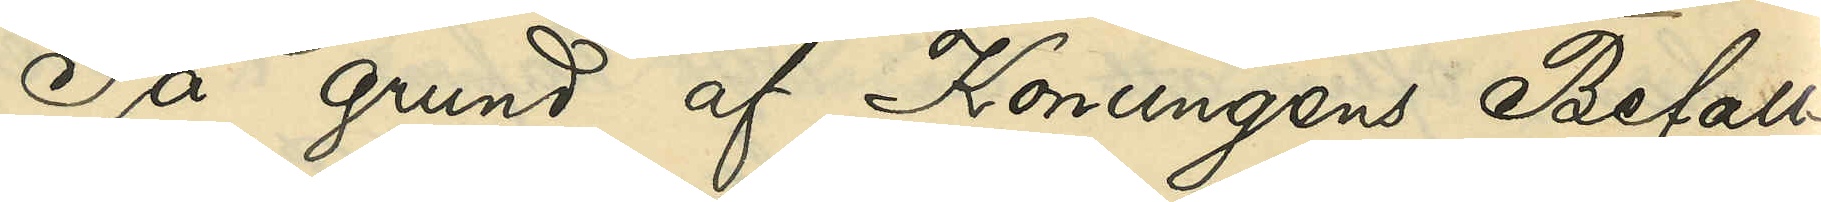På grund af Konungens Befall¬
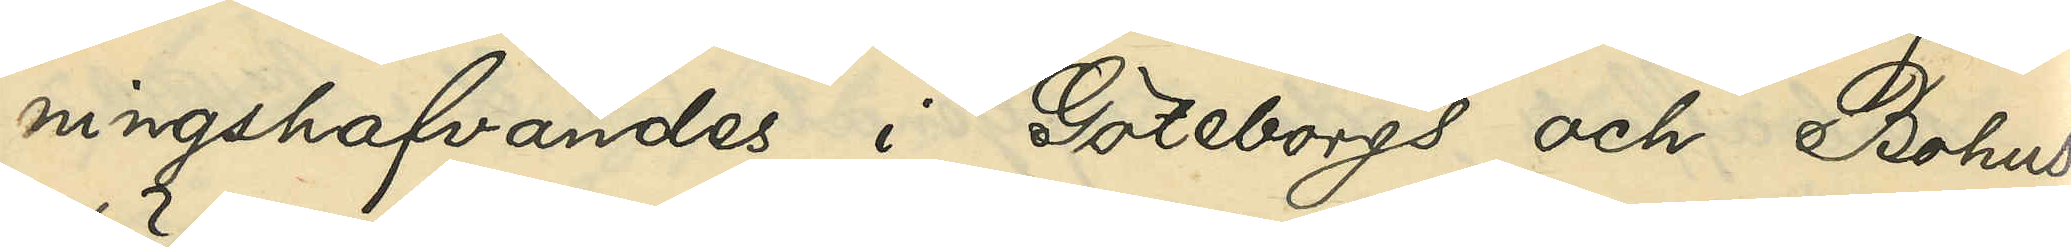ningshafvandes i Göteborgs och Bohus
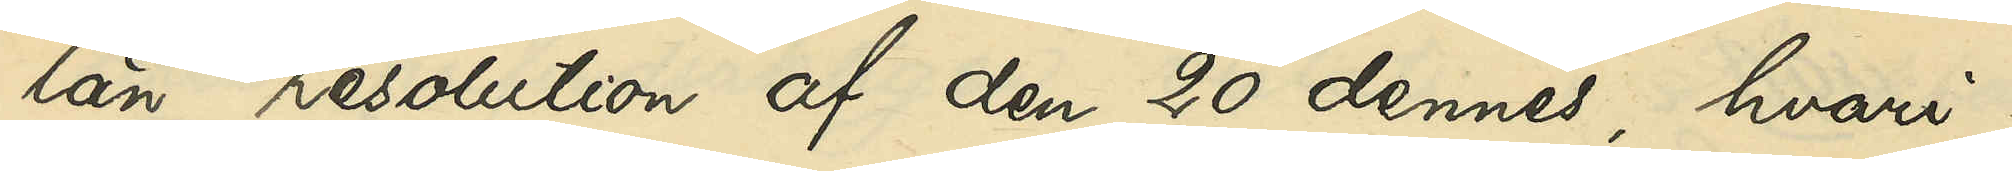län resolution af den 20 dennes, hvari¬
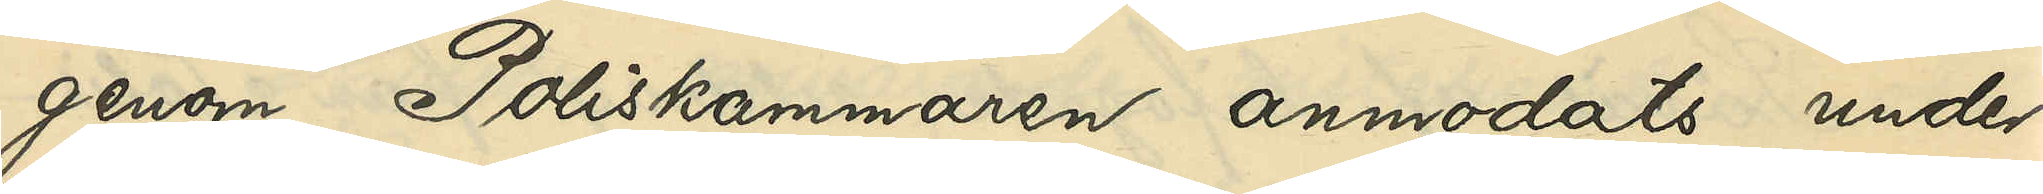genom Poliskammaren anmodats under¬
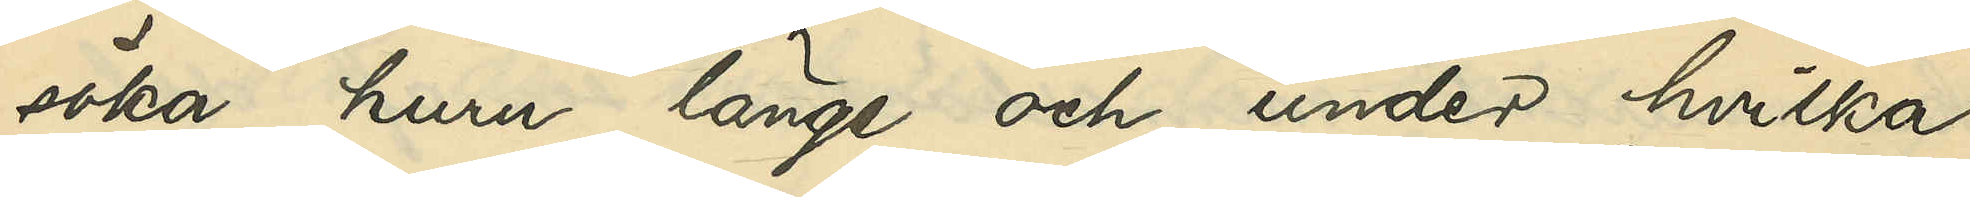söka, huru länge och under hvilka
